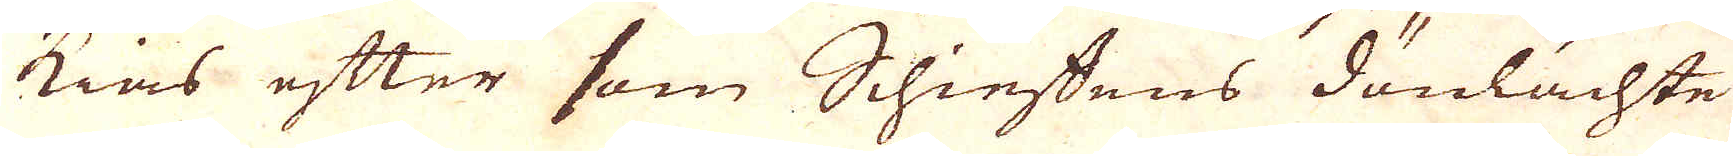kias efter som Schieffens dönlächte
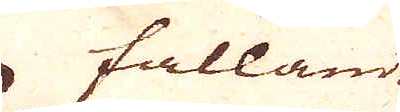fallande
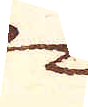2.
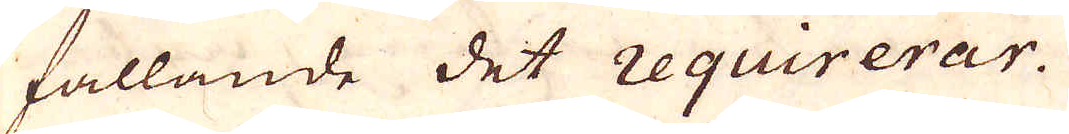fallande det requirerar.
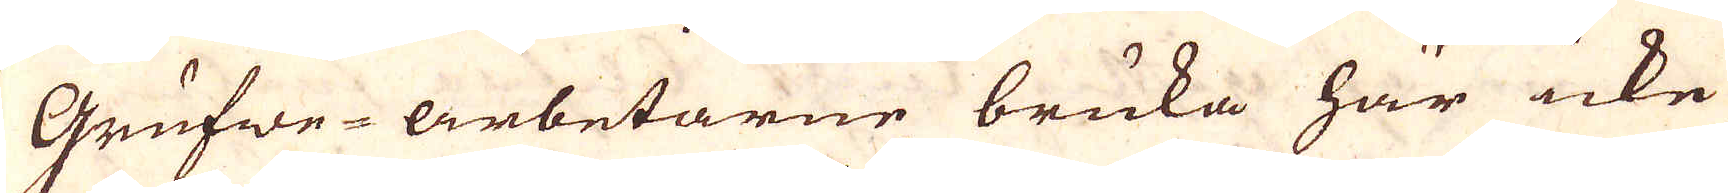Grufwe-arbetarne bruka här icke
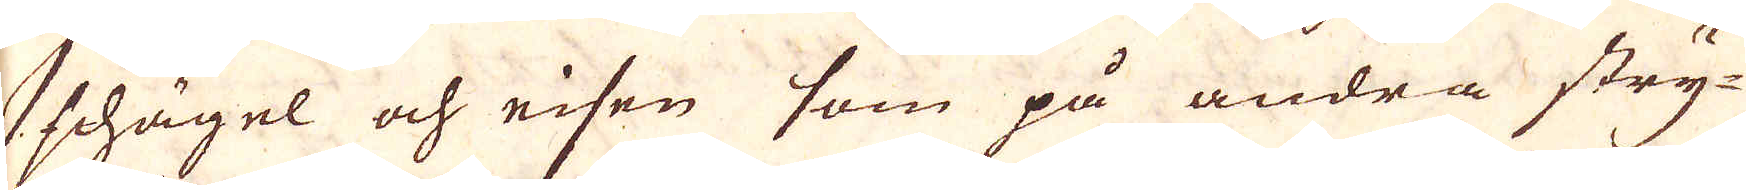schägel och eisen som på andra stry-
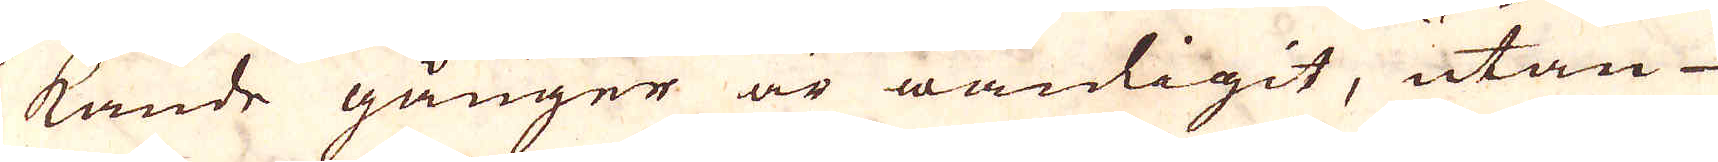kande gånger är wanligit, utan
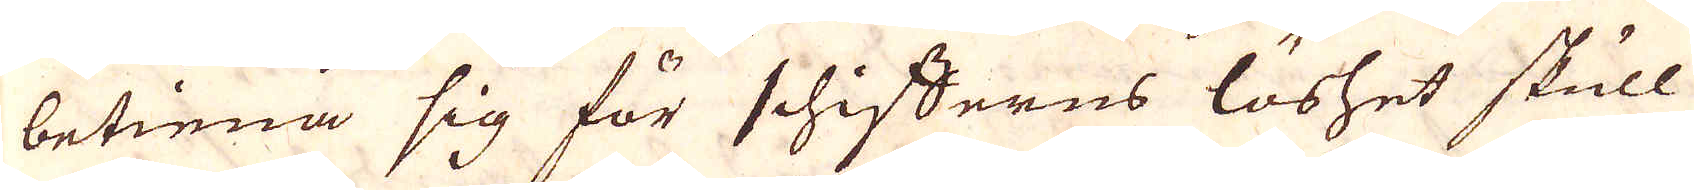betiena sig för schifferns löshet skull
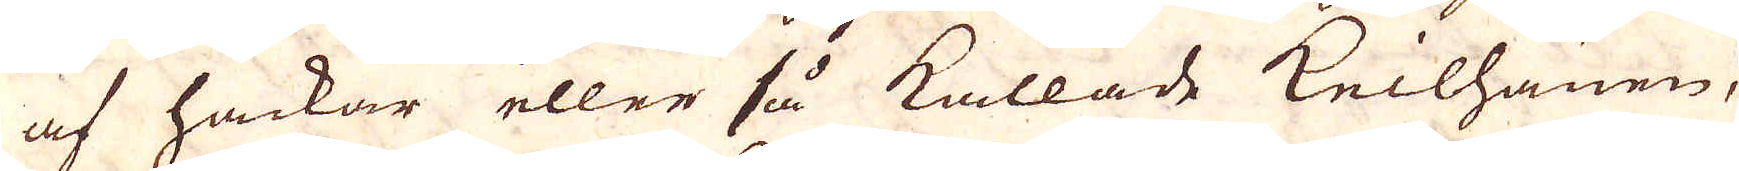af hackar eller så kallade Keilhänen,
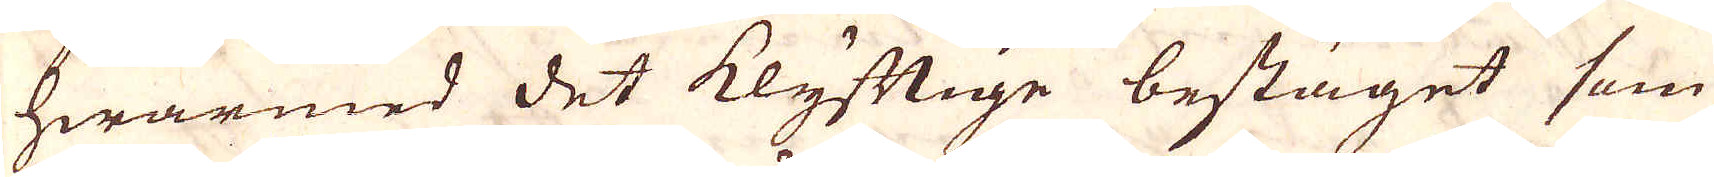hwarmed det klyftige bestäget som
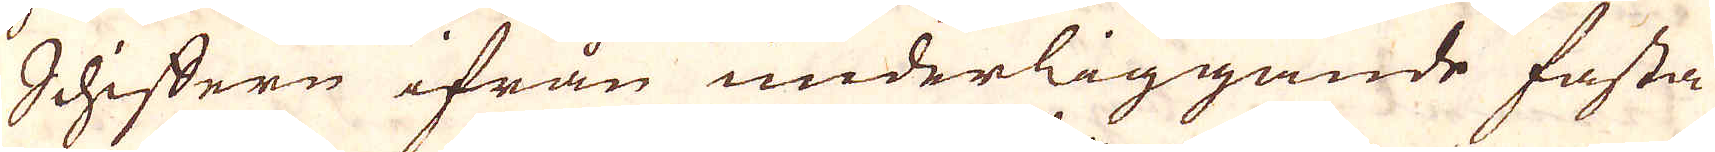Schiffern ifrån underliggande fasta
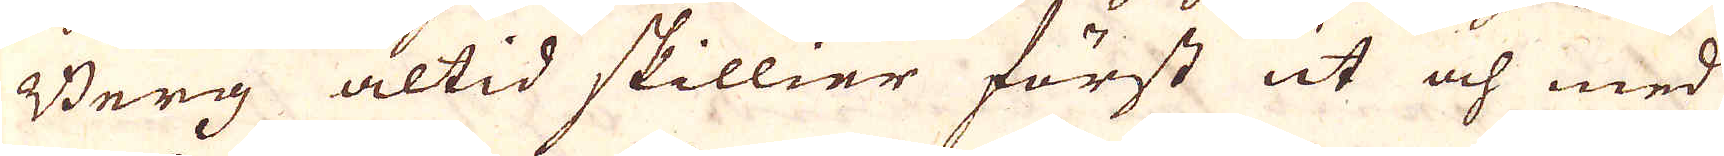Berg altid skillier först ut och med
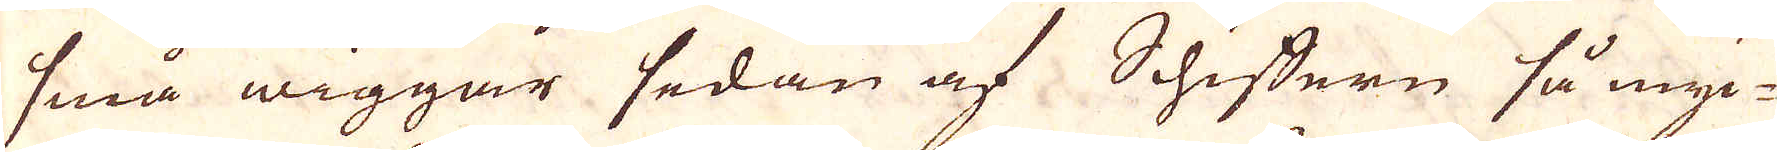små wiggar sedan af Schiffern så myc-
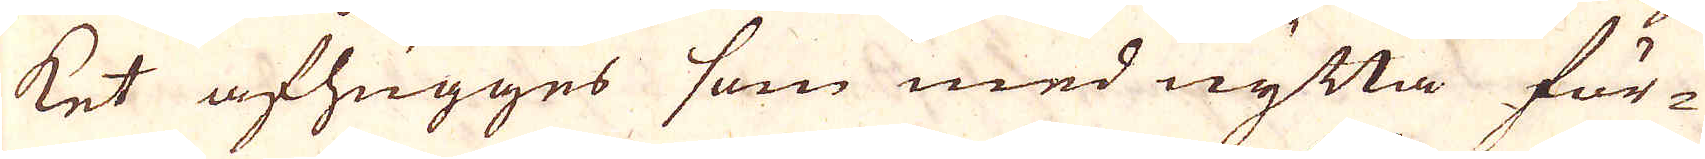ket afhugges som med nytta för-
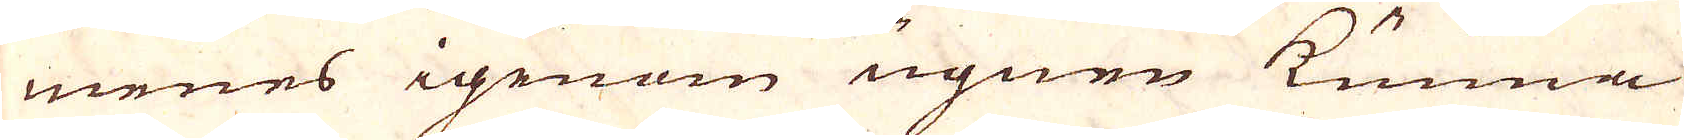menes igenom ugnen kunna
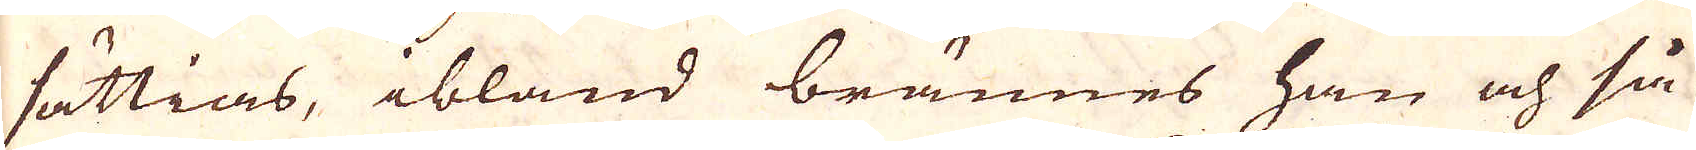sättias, ibland brännes han och så
